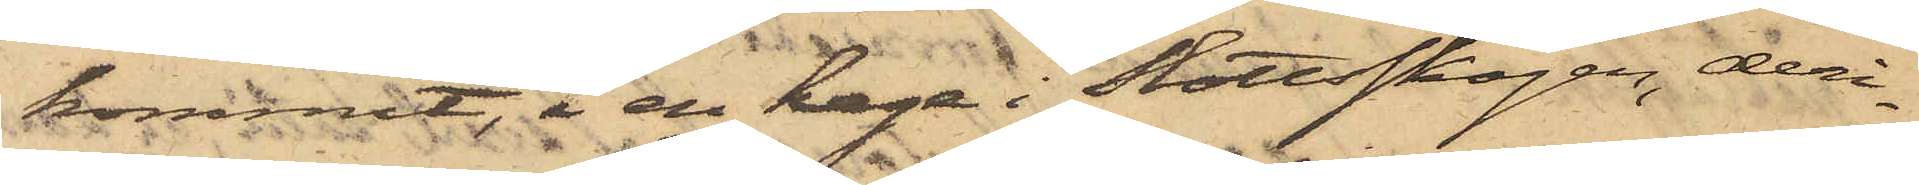kommit, i en hage i Slottsskogen, deri¬
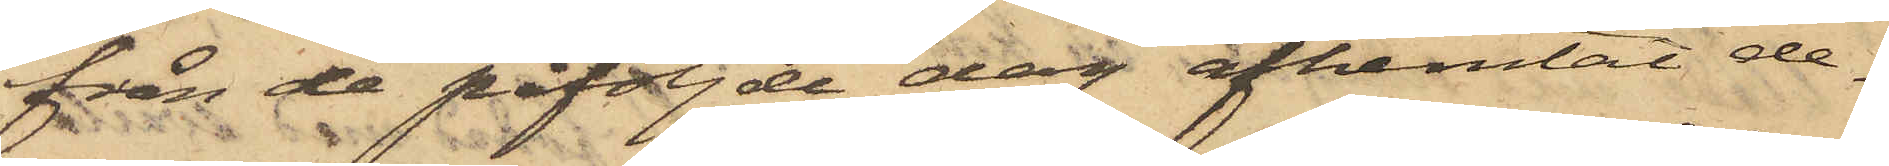från de påföljde dag afhemtat de¬
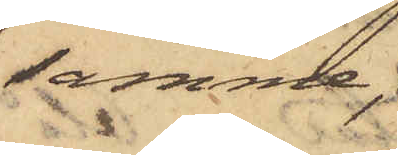samme,
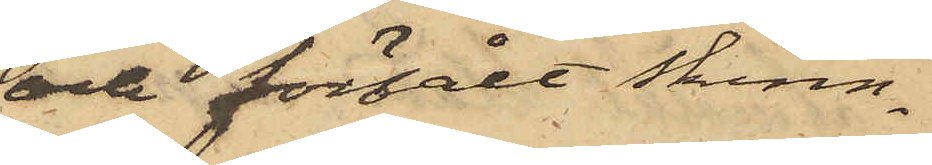och försålt skinn¬
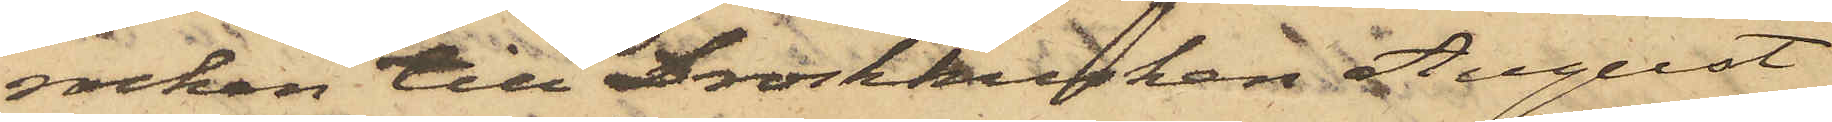rocken till Droskkusken August
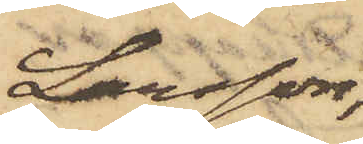Larsson,
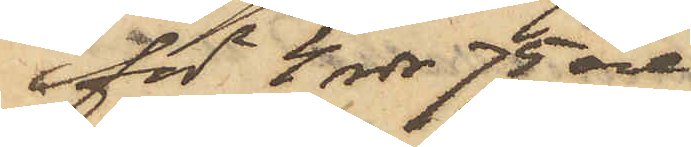för 4 rdr 75 öre.
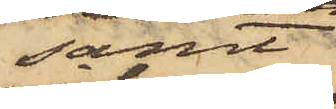samt
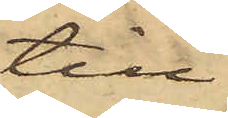till
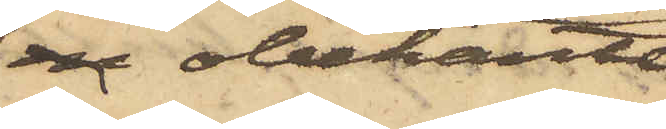en obekante
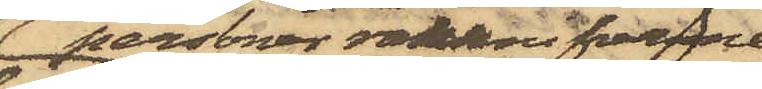personer rakknifvarne
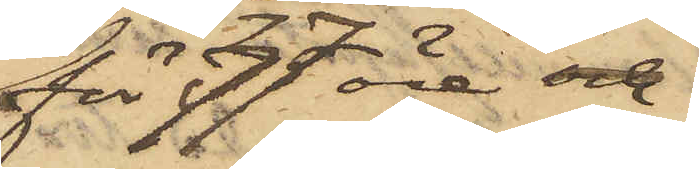för 77 öre och
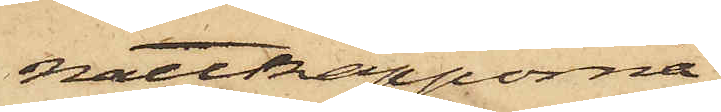nattkapporna
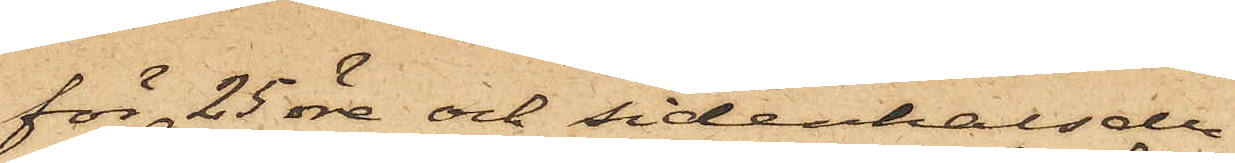för 25 öre och sidenhalsdu¬
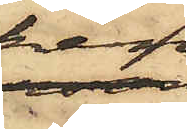ken
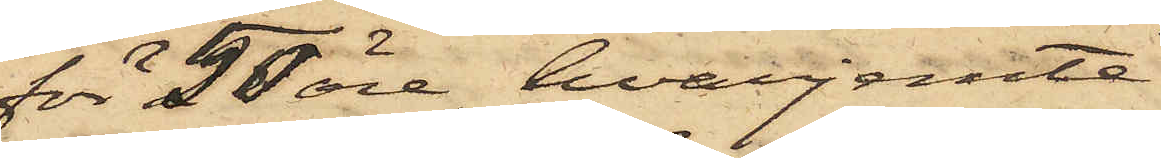för 50 öre, hvarjemte
